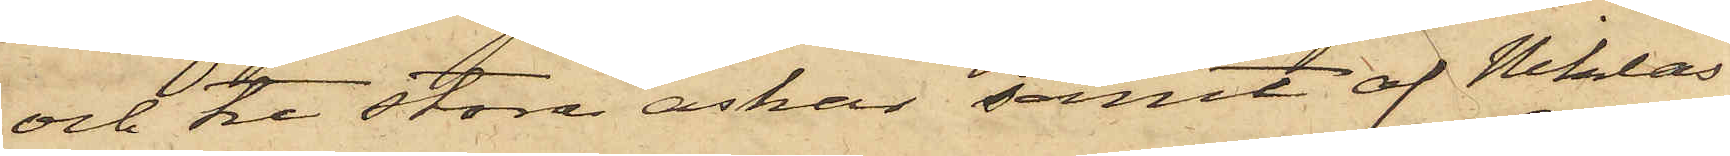och tre stora askar samt af Niklas
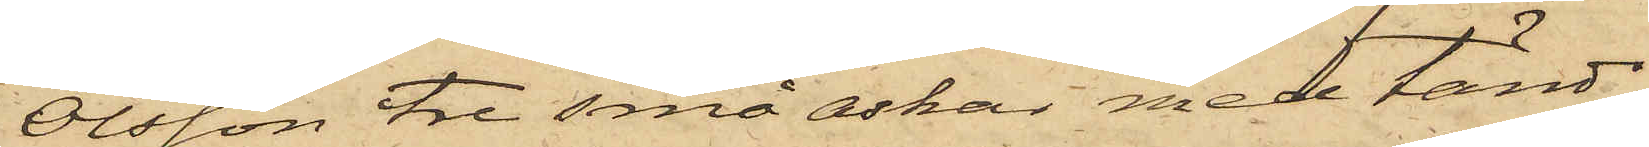Olsson tre små askar med tänd¬
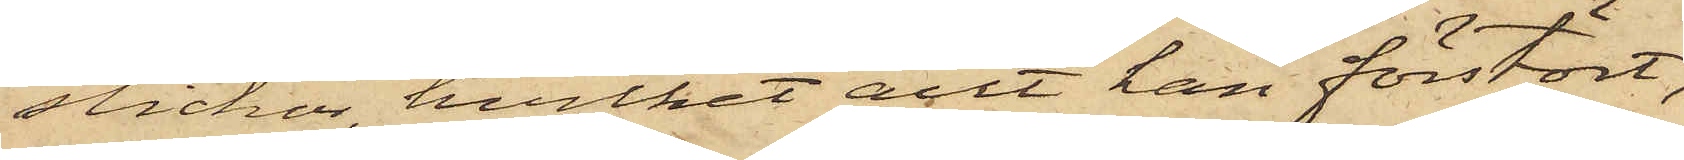stickor, hvilket allt han förstört;
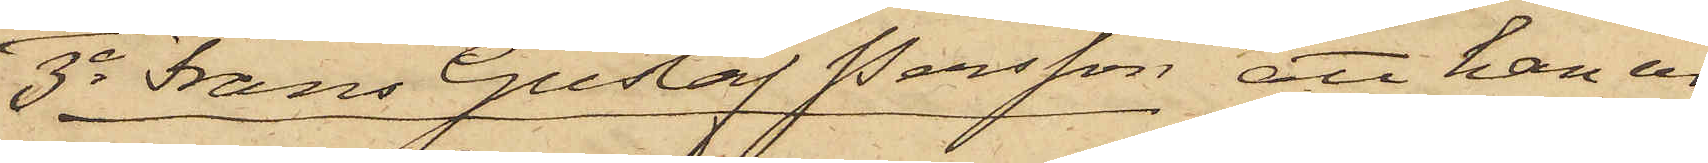3o Frans Gustaf Persson att han ur
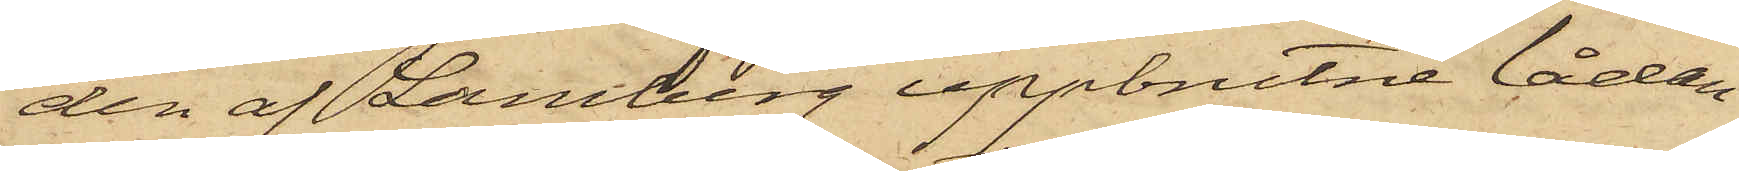den af Lamberg uppbrutne lådan
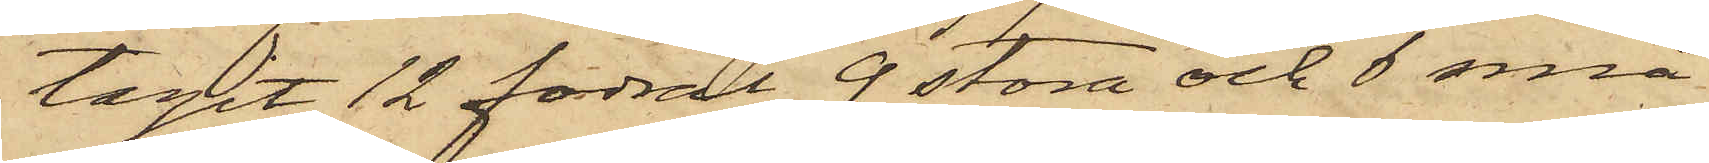tagit 12 fodral, 9 stora och 6 små
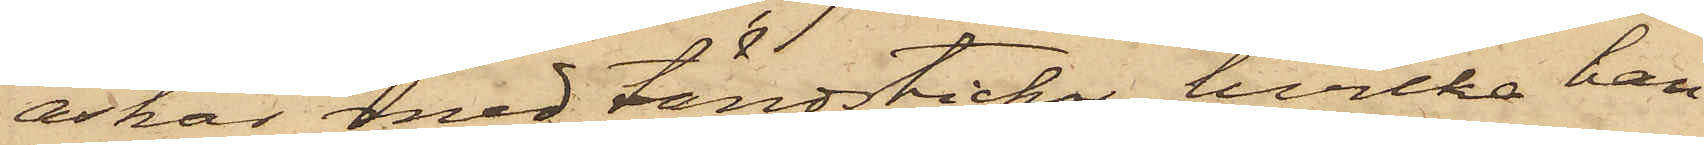askar med tändstickor, hvilka han
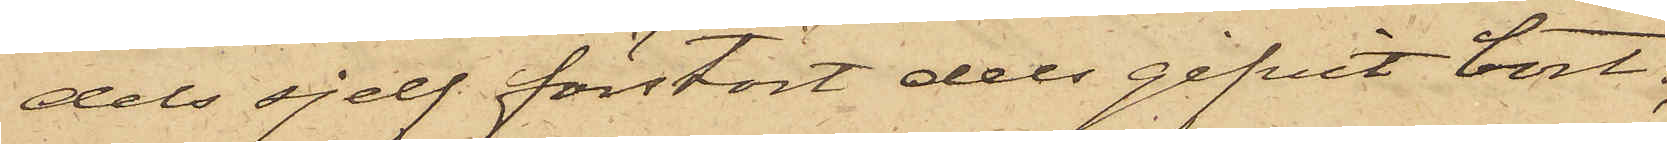dels sjelf förstört dels gifvit bort;
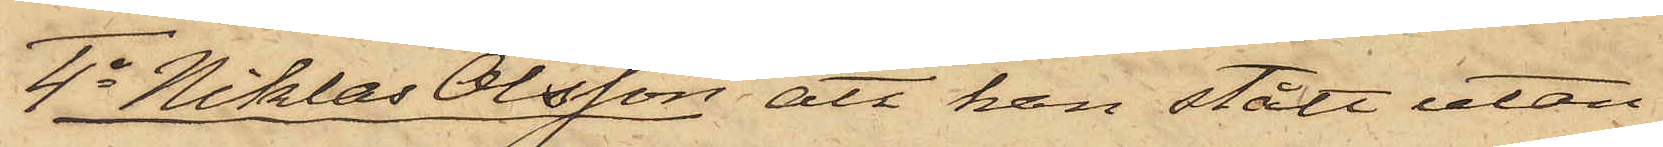4o Niklas Olsson att han stått utan¬
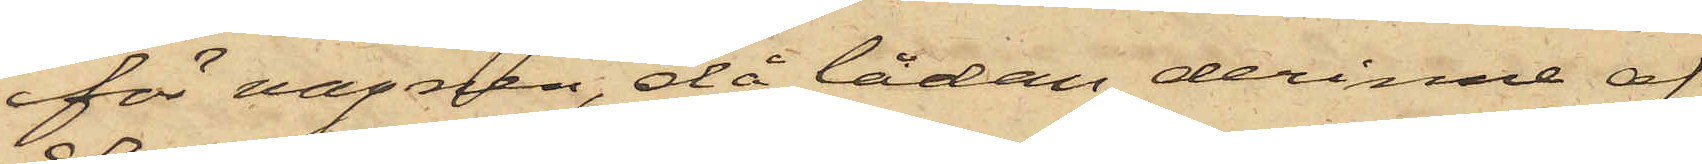för vagnen, då lådan derinne af
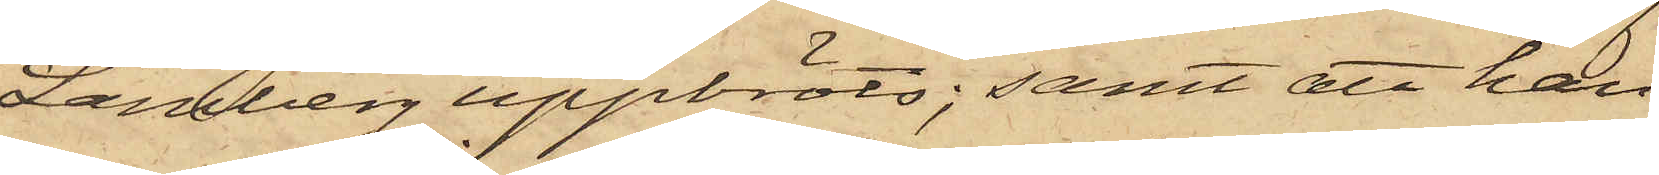Lamberg uppbröts; samt att han
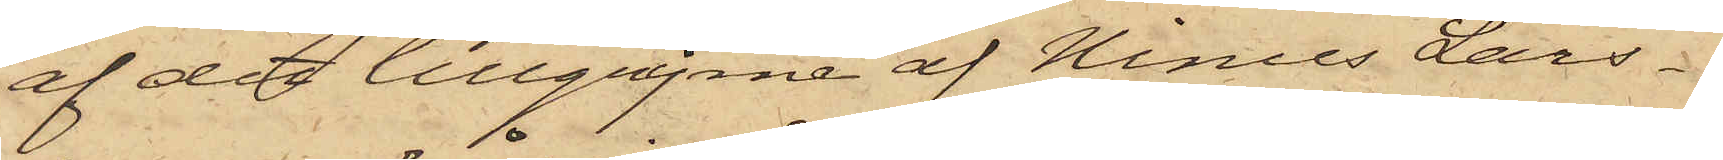af det tillgripne af Ninus Lars¬
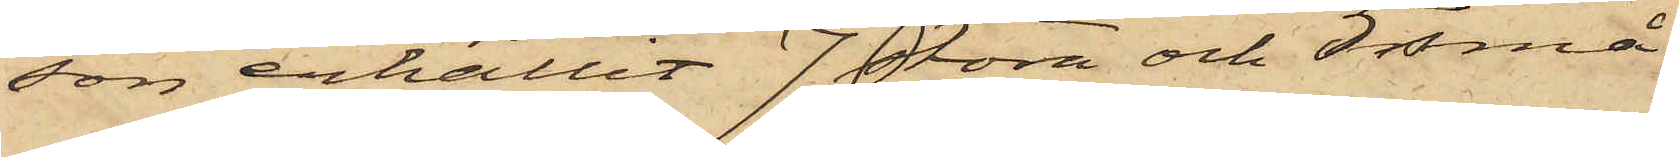son erhållit 7 stora och 5 små
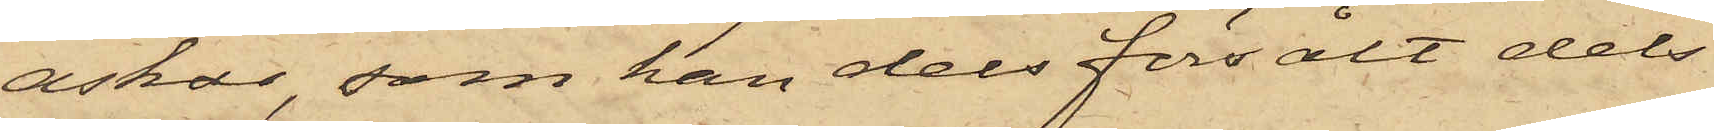askar, som han dels försålt dels
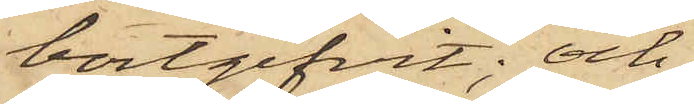bortgifvit; och
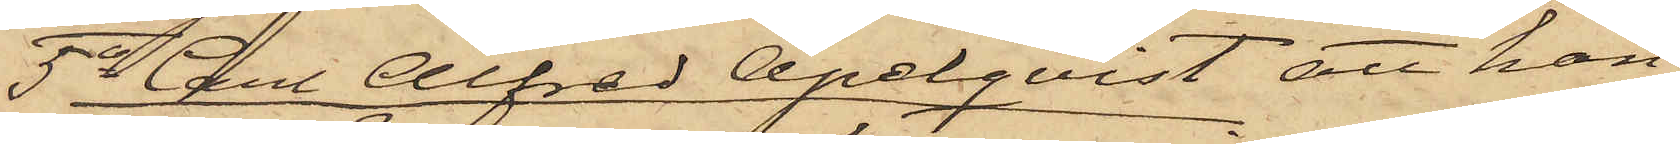5o Carl Alfred Apelqvist, att han
